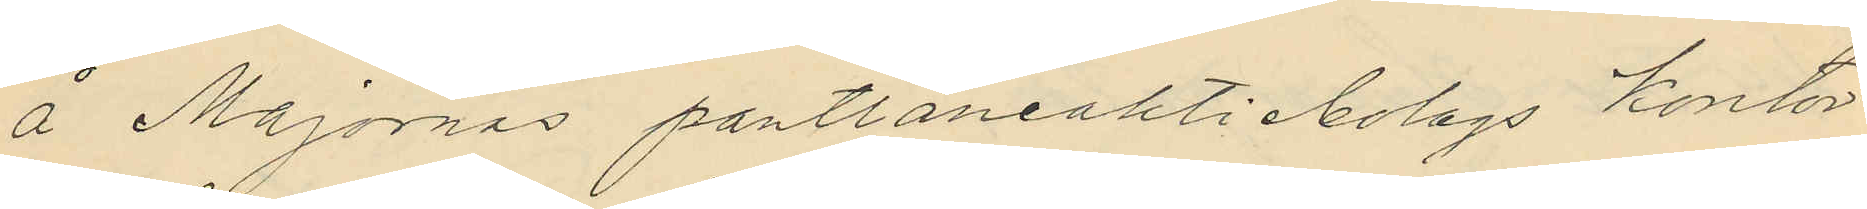å Majornas pantlåneaktiebolags kontor
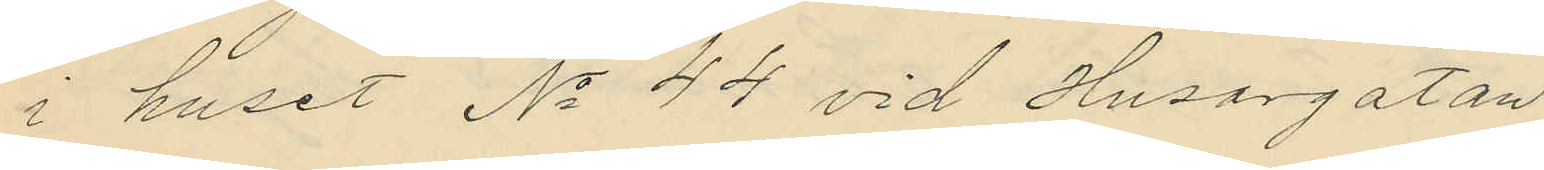i huset No 44 vid Husargatan
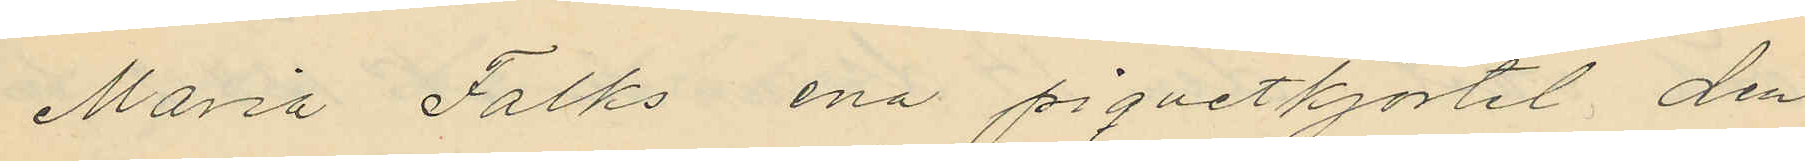Maria Falks ena piquetkjortel, den
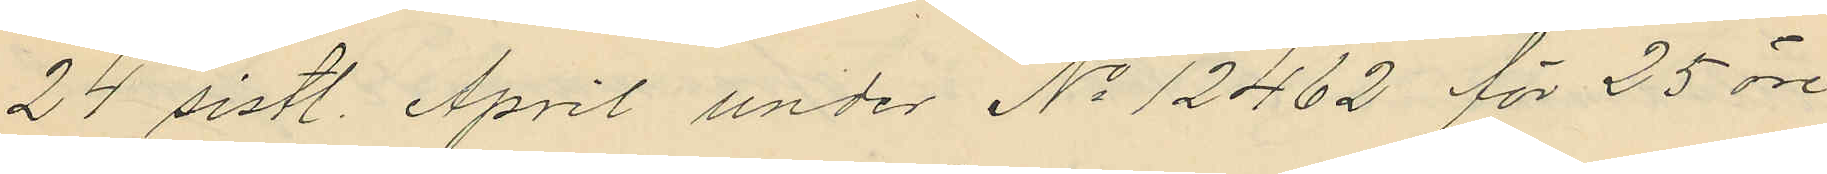24 sistl. April under No 12462 för 25 öre
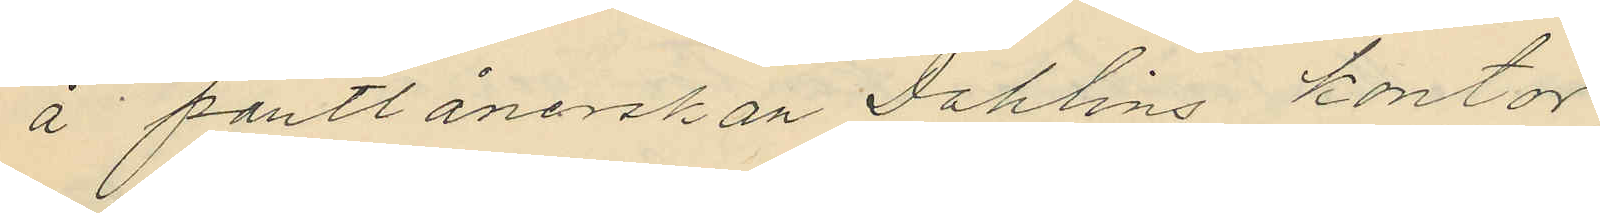å pantlånerskan Dahlins kontor
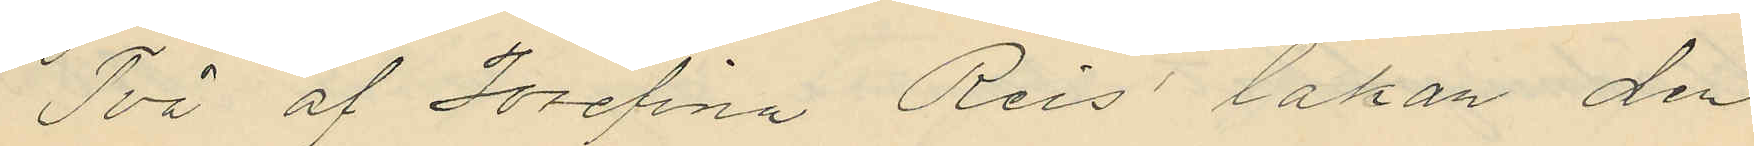Två af Josefina Reis´ lakan den
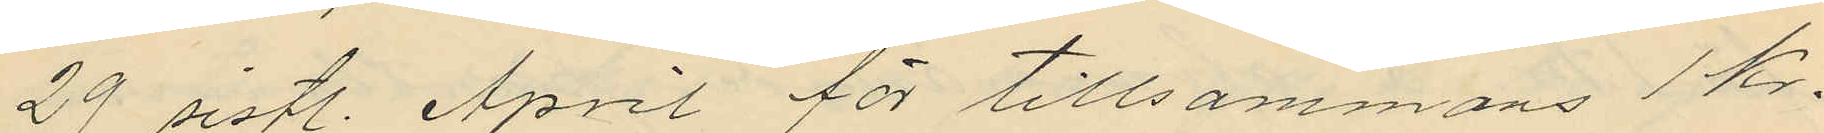29 sistl. April för tillsammans 1 Kr.
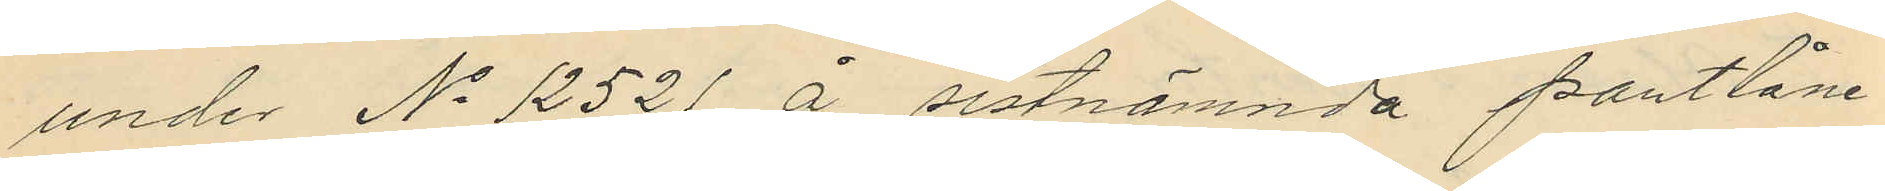under No 12521 å sistnämnda pantlåne¬
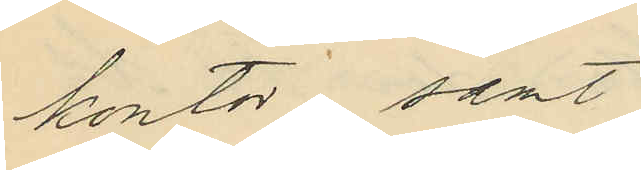kontor samt
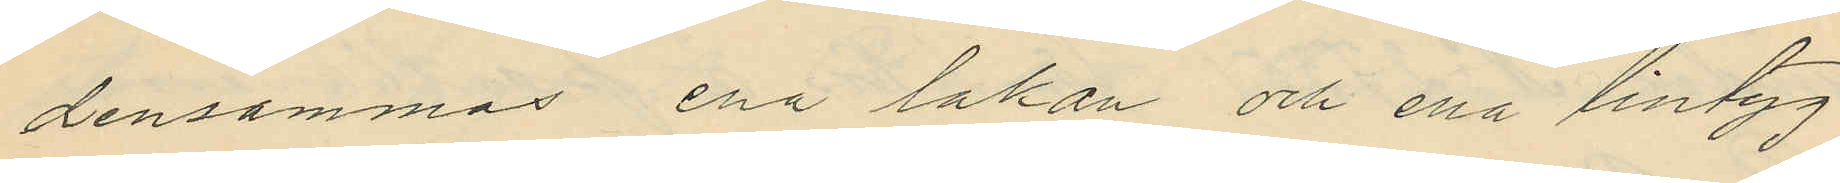densammas ena lakan och ena lintyg
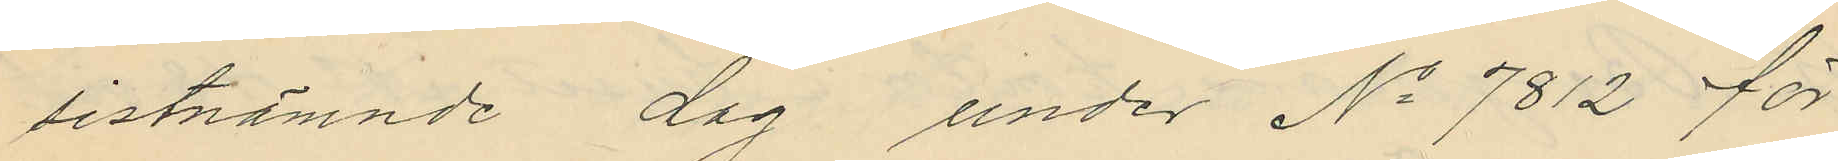sistnämnde dag under No 7812 för
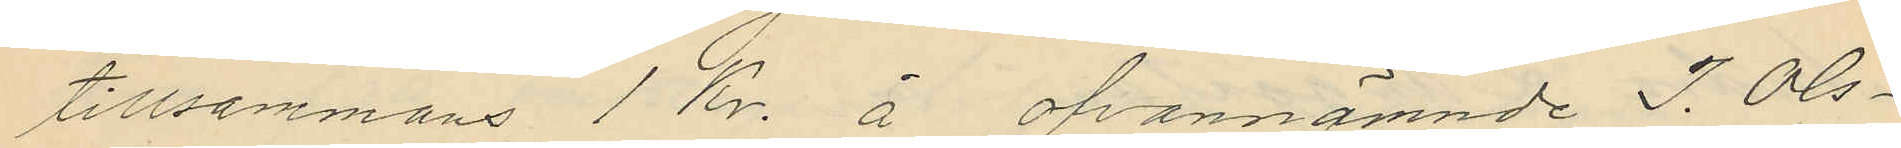tillsammans 1 Kr. å ofvannämnde J. Ols¬
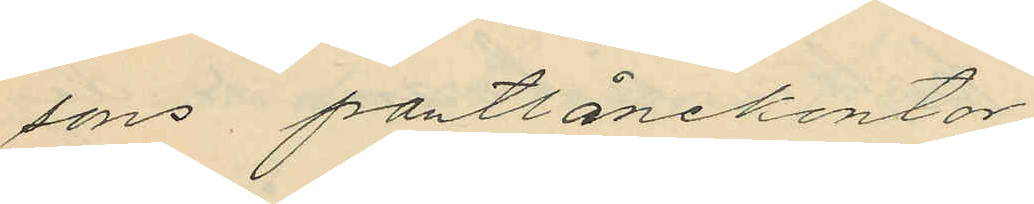sons pantlånekontor
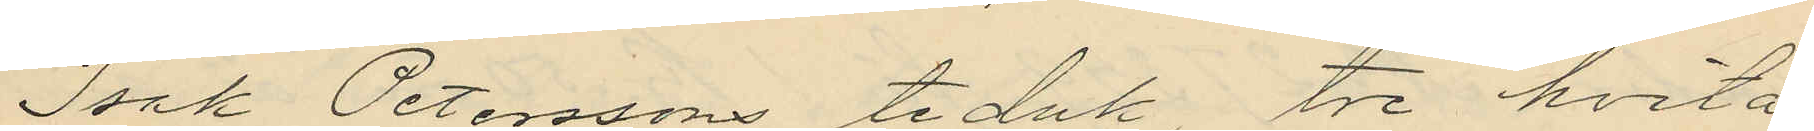Isak Peterssons teduk, tre hvita
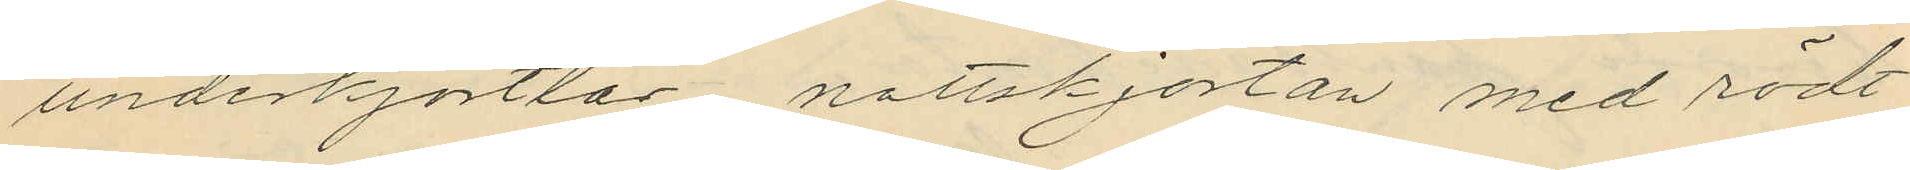underkjortlar nattskjortan med rödt
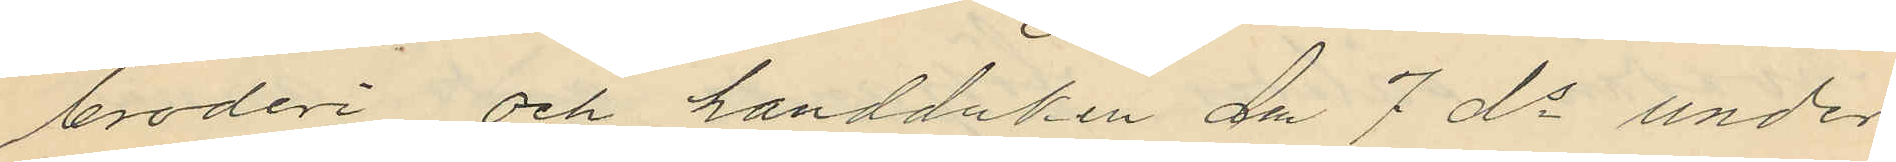broderi och handduken den 7 ds under
